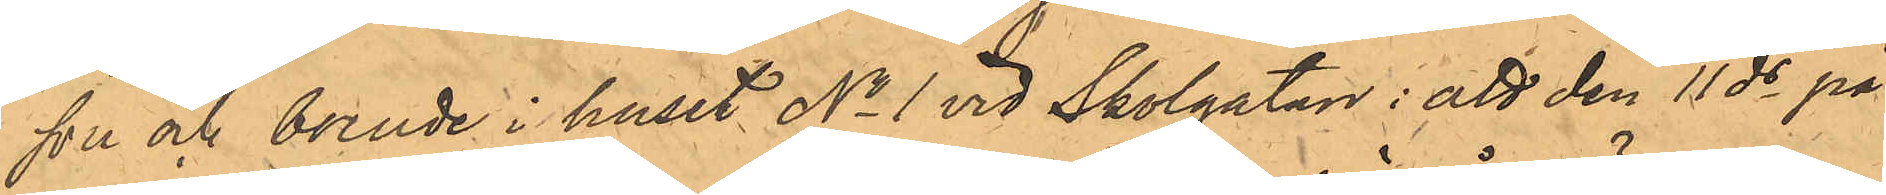son och boende i huset No 1 vid Skolgatan: att den 11 ds på
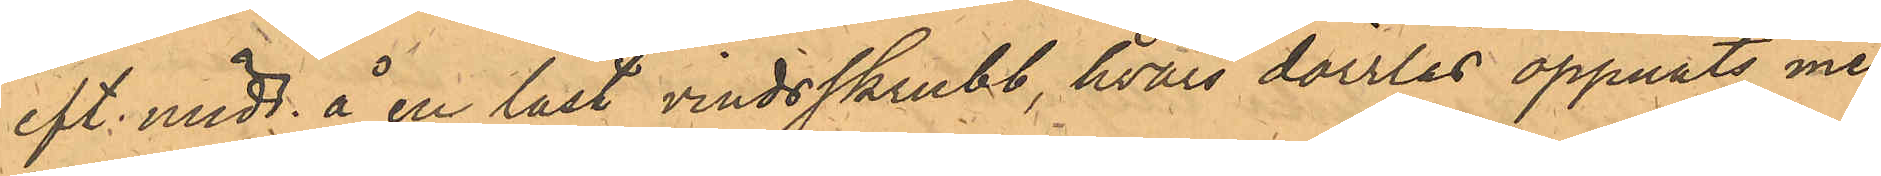eft. midd. å en låst vindsskrubb, hvars dörrlås öppnats me¬
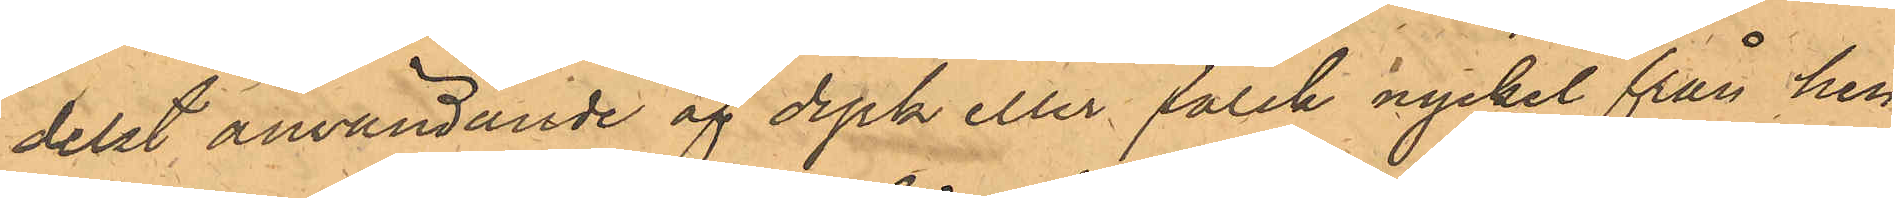delst användande af dyrk eller falsk nyckel från hen¬
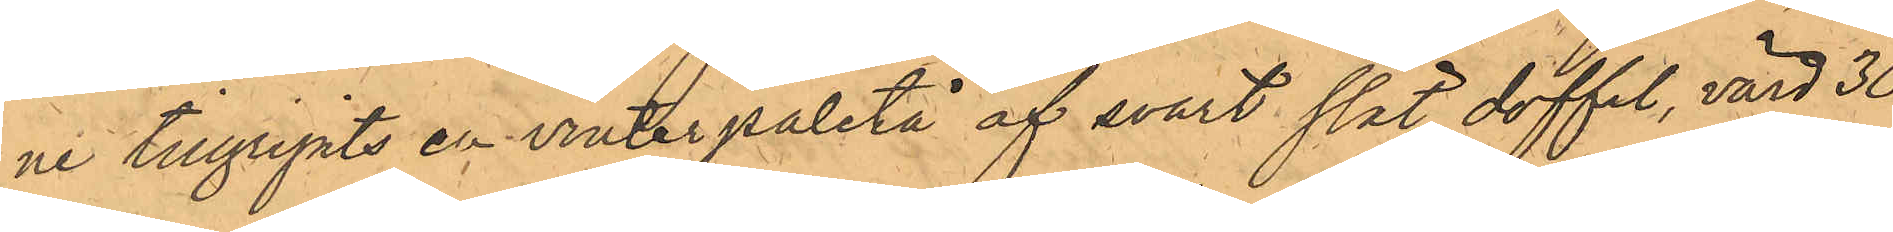ne tillgripits en vinterpaletå af svart slät doffel, värd 30
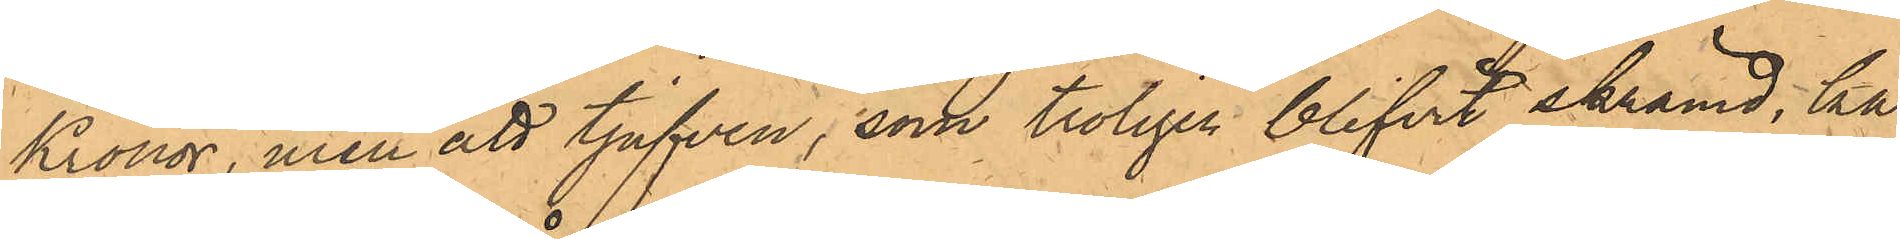Kronor, men att tjufven, som troligen blifvit skrämd, ka¬
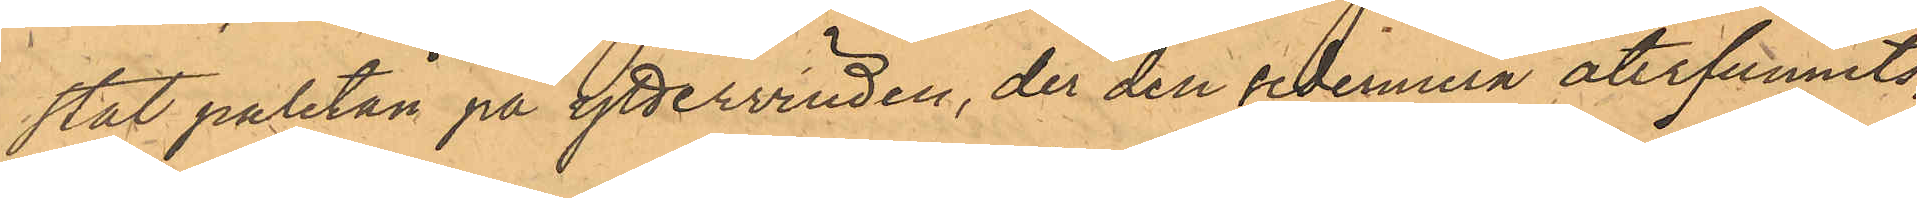stat paletån på yttervinden, der den sedermera återfunnits;
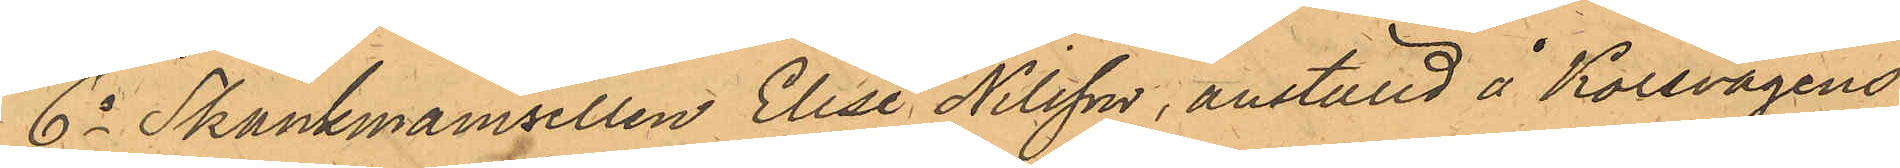6o Skänkmamsellen Elise Nilsson, anställd å Korsvägens
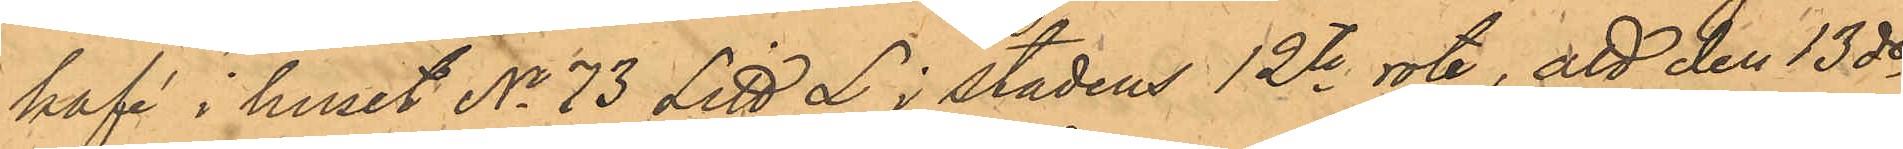kafé i huset No 73 Litt L i stadens 12te rote, att den 13 ds
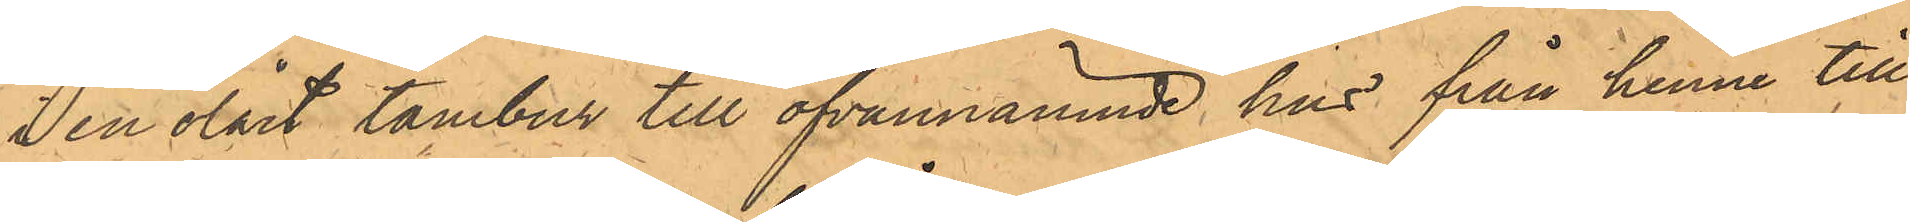i en olåst tambur till ofvannämnde hus från henne till¬
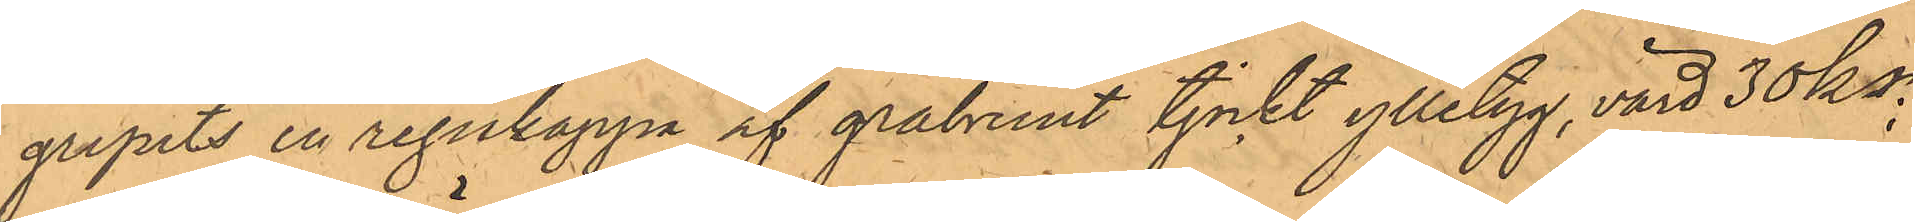gripits en regnkappa af gråbrunt tjockt ylletyg, värd 30 kr;
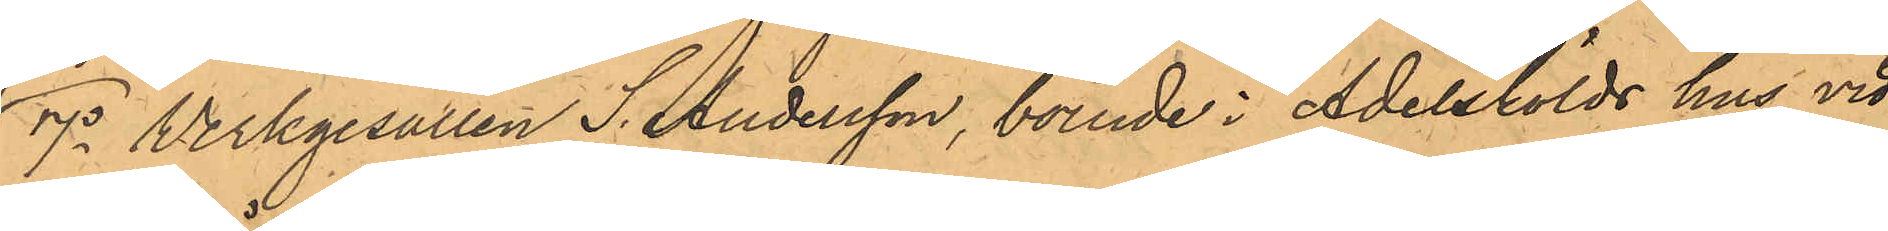7o Werkgesällen S. Andersson, boende i Adelskölds hus vid
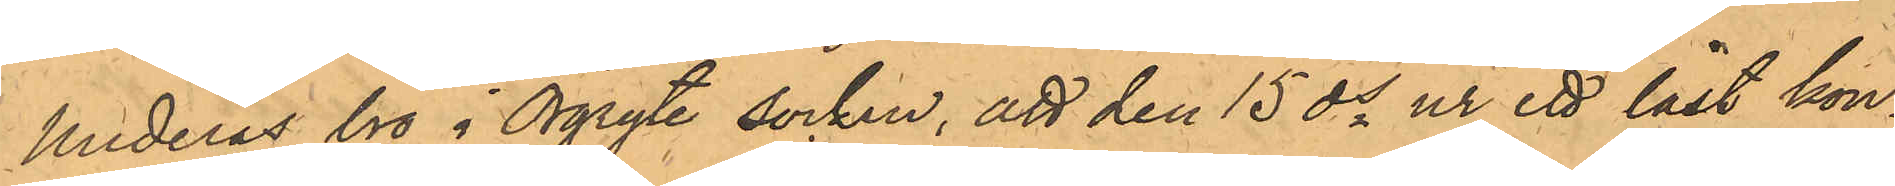Underås bro i Örgryte socken, att den 15 ds ur ett låst kon¬
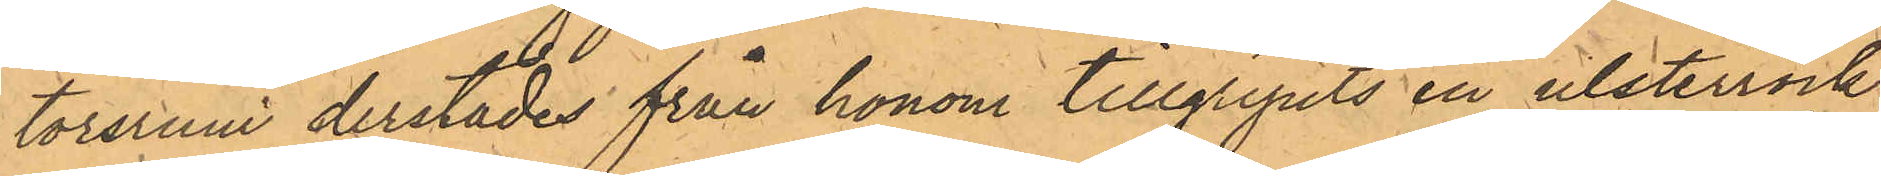torsrum derstädes från honom tillgripits en ulsterrock
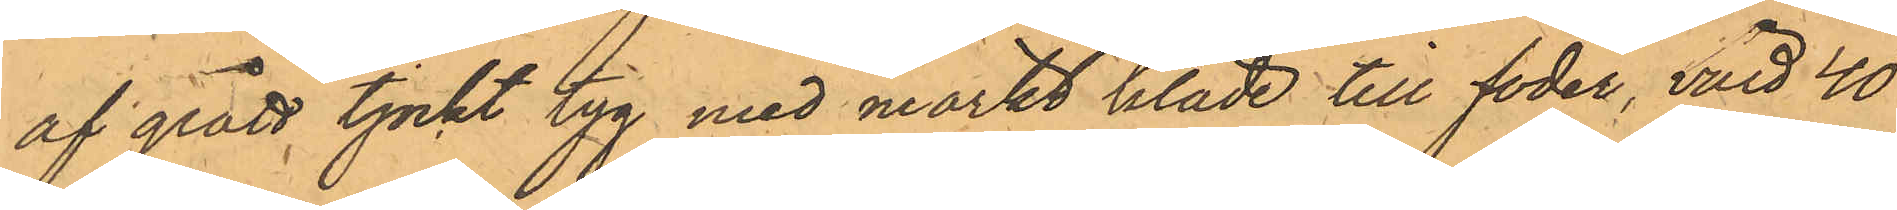af grått, tjockt tyg med mörkt kläde till foder, värd 40
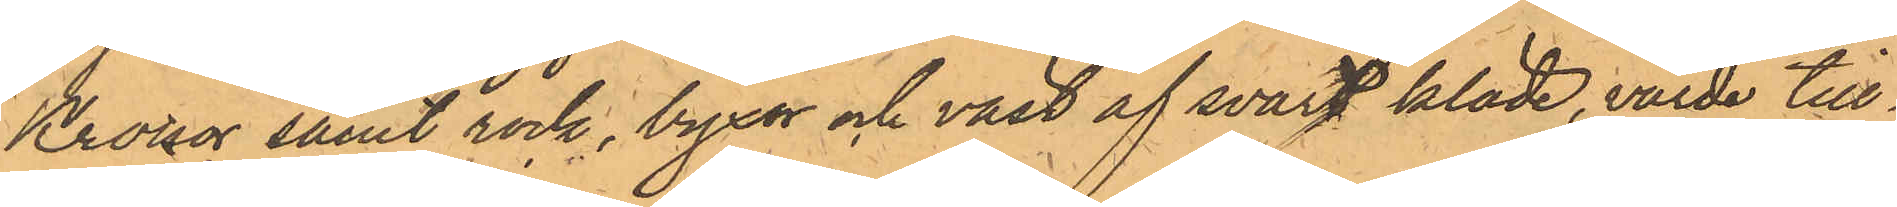Kronor samt rock, byxor och väst af svart kläde, värde till¬
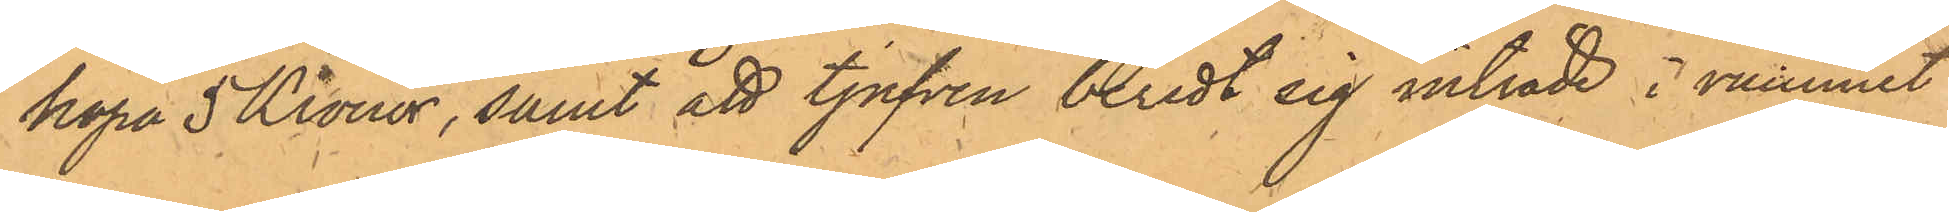köpa 5 Kronor, samt att tjufven beredt sig inträde i rummet
